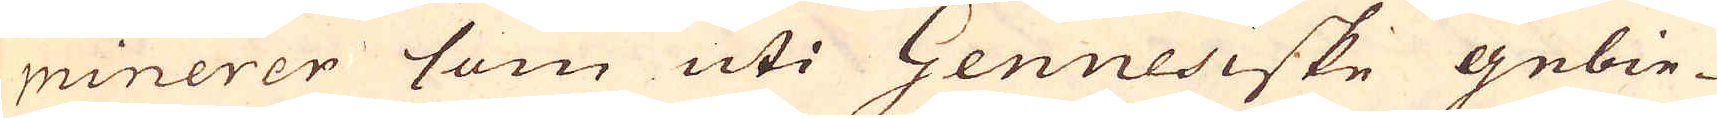minerer som uti Genuesiske gebie-
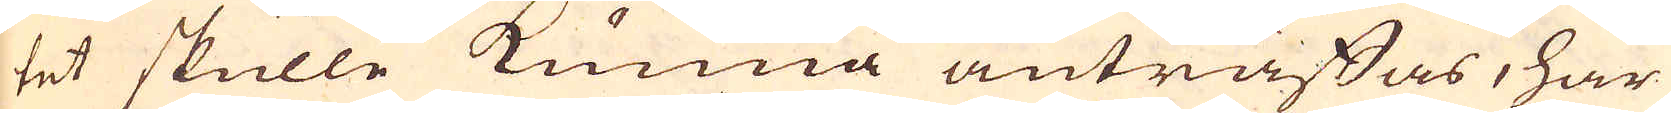tet skulle kunna anträffas, har
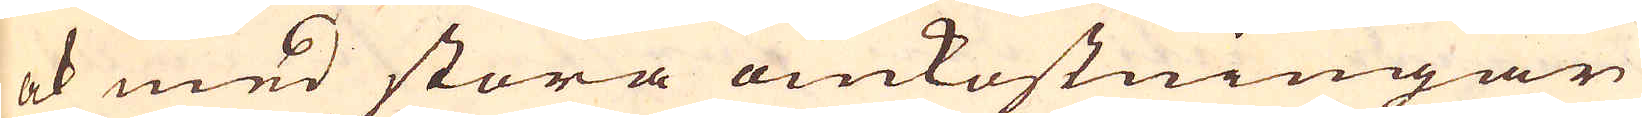ok med stora omkostningar
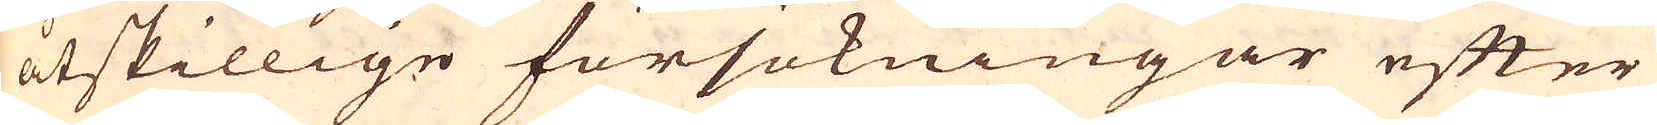åtskillige försökningar efter
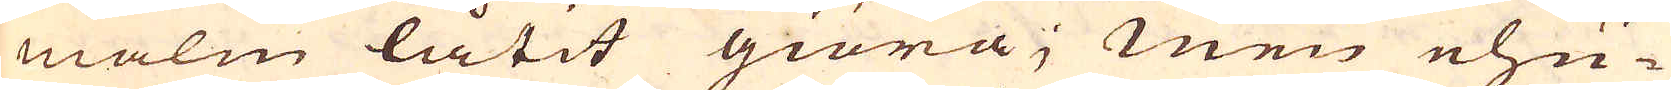malm låtit giöra; Men ehu-
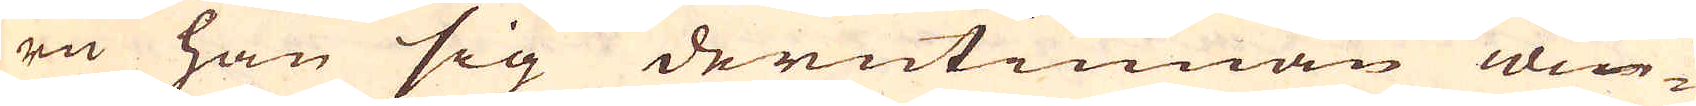ru han sig derutinnan win-
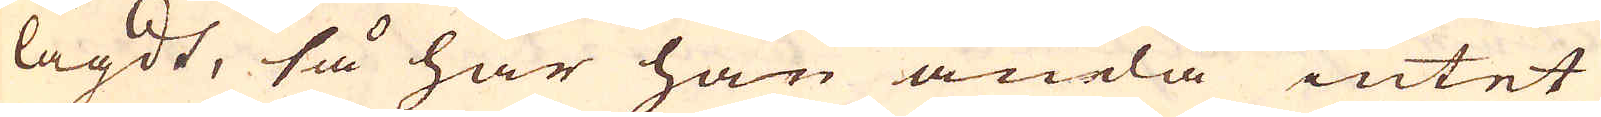lagdt, så har han ändå intet
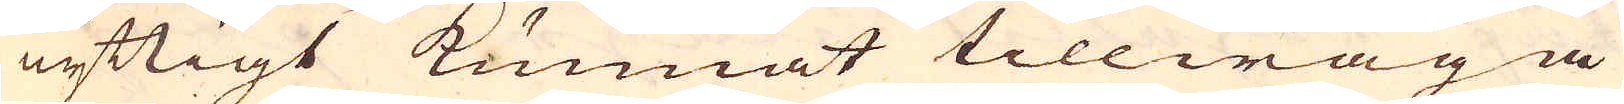nyttigt kunnat tillwäga
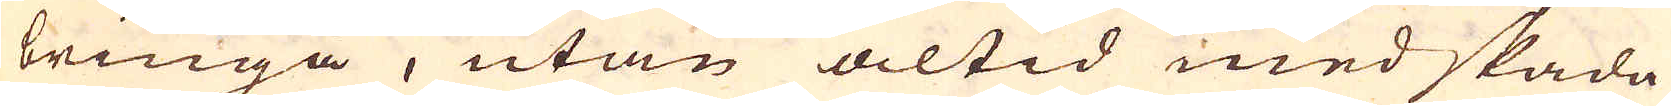bringa, utan altid med skada
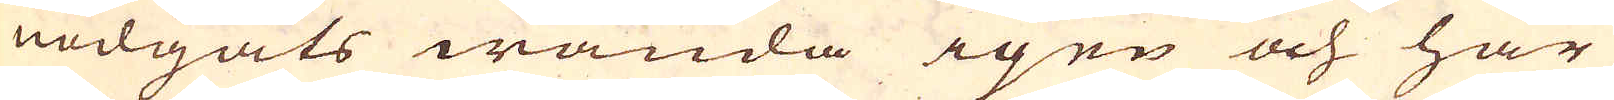nödgats wända igen och har
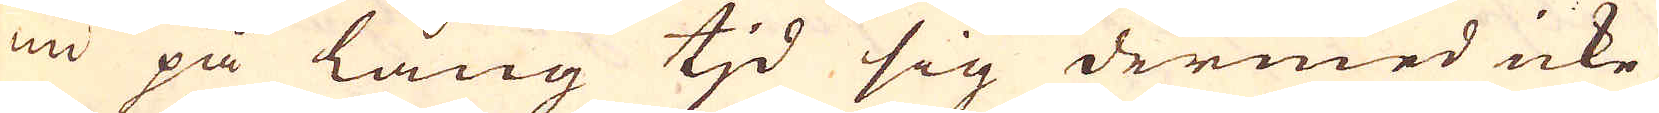nu på lång tid sig dermed icke
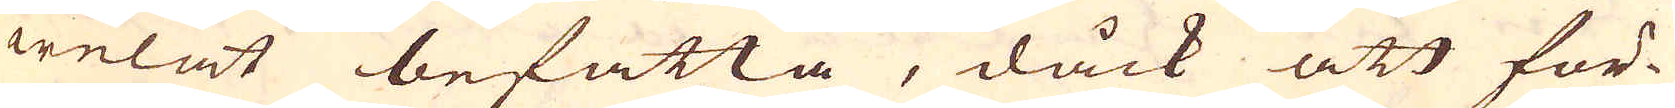welat befatta, dåck att för-
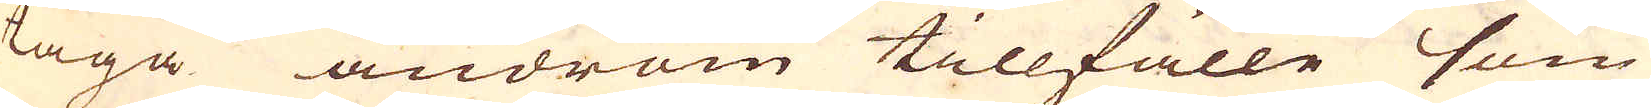taga androm tillfälle som
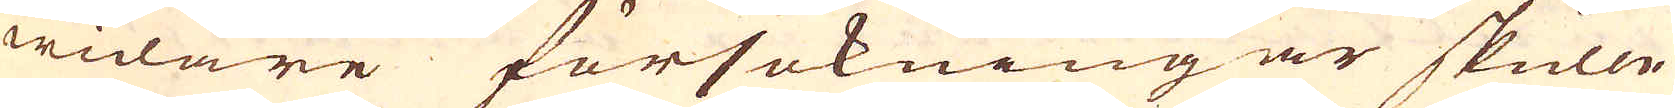widare försökningar skulle
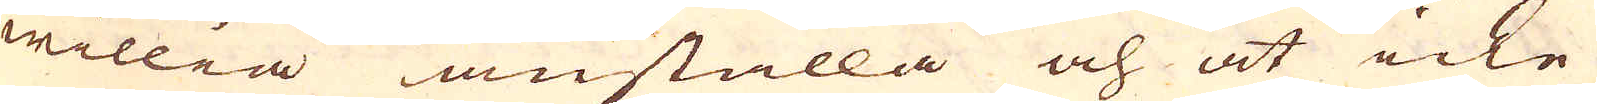willia anställa och at icke
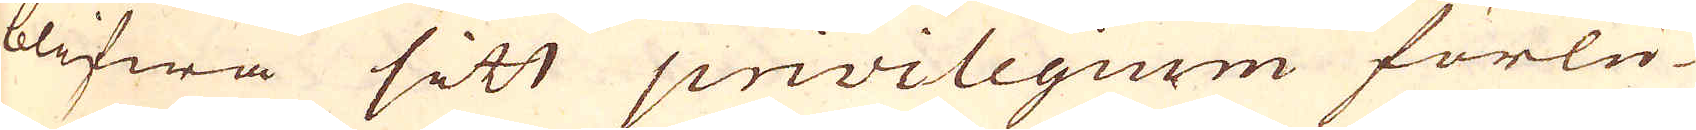blifwa sitt privilegum förlu-
